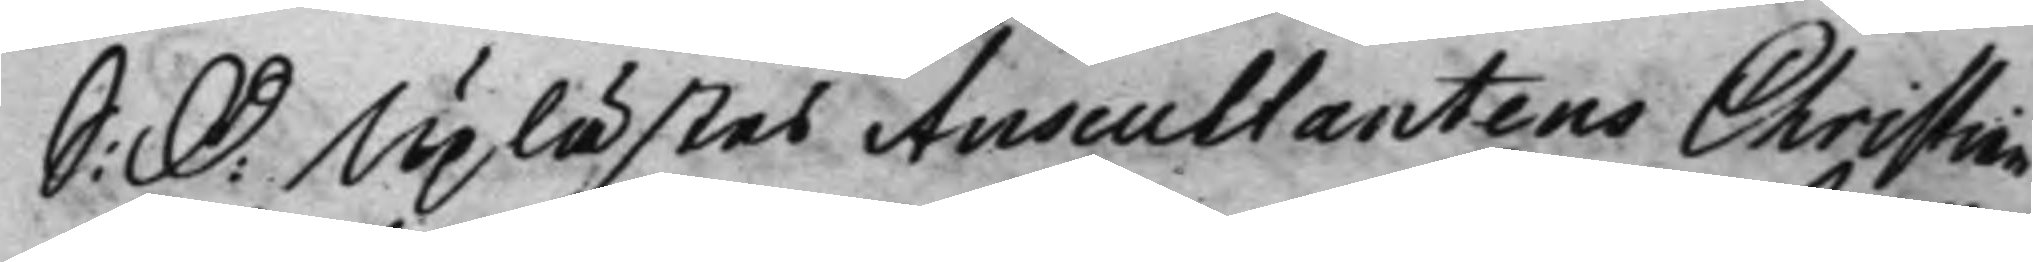S: D: Uplästes Auscultantens Christiean 
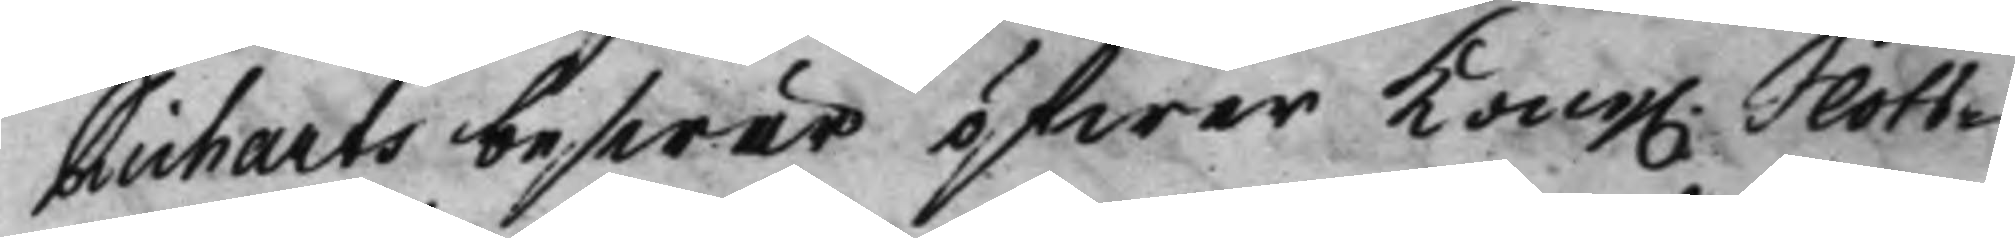Richarts beswär öfwer Kong. Slots¬ 
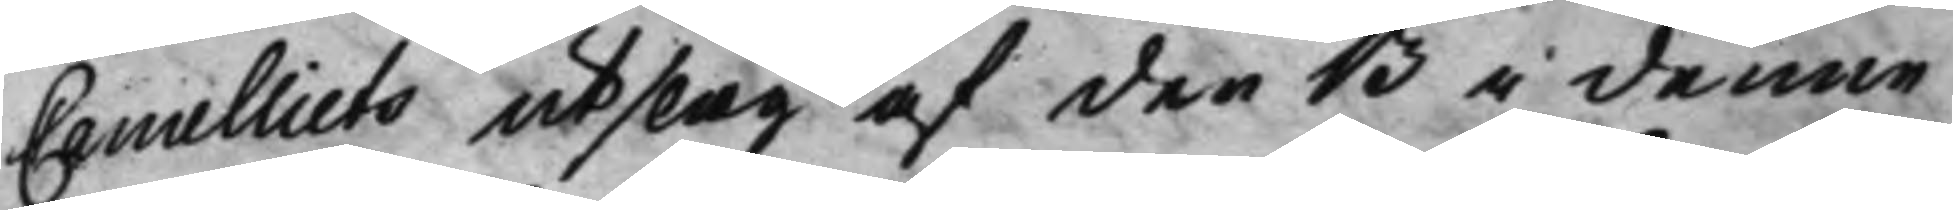Cancelliets utslag af den 13 i denne
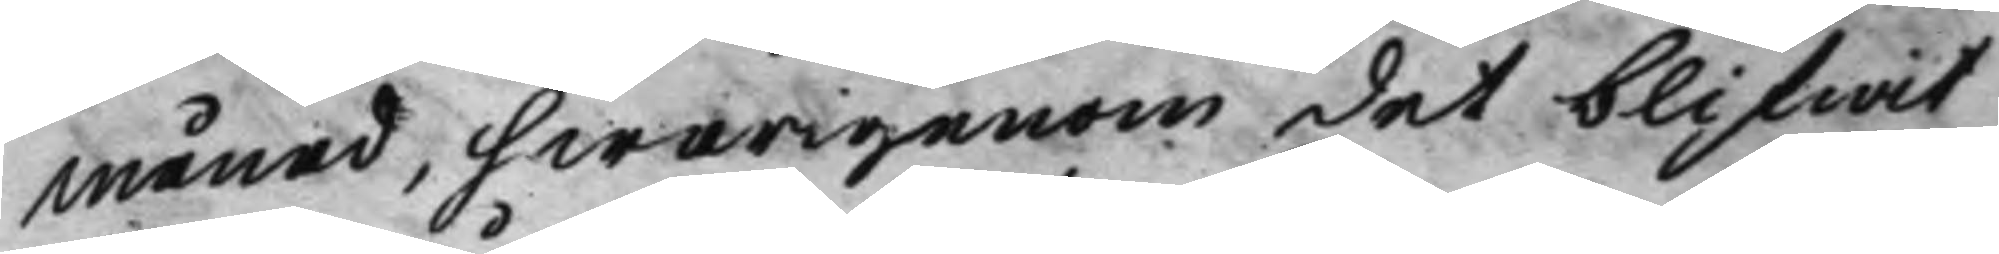Månad, hwarigenom det blifwit
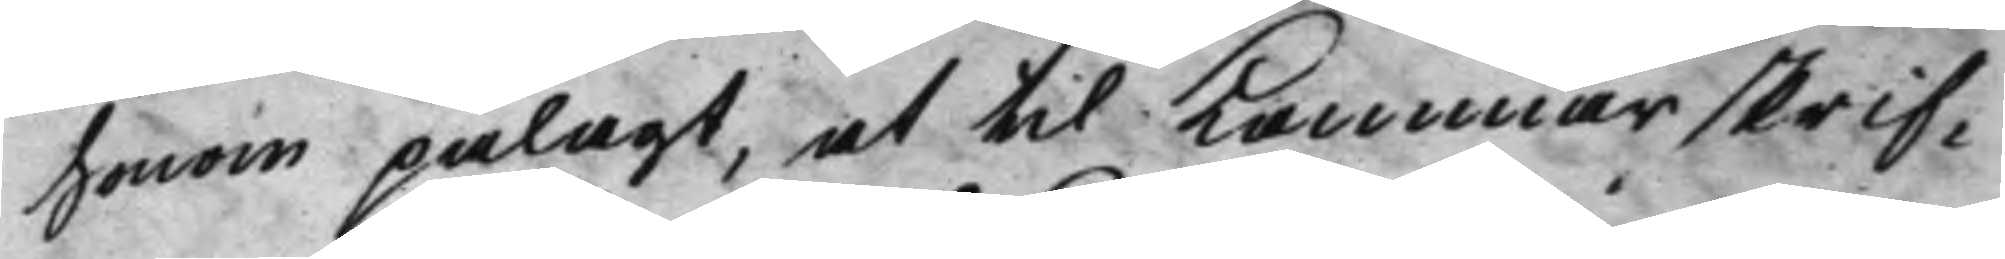honom pålagt, at til Kammarskrif¬
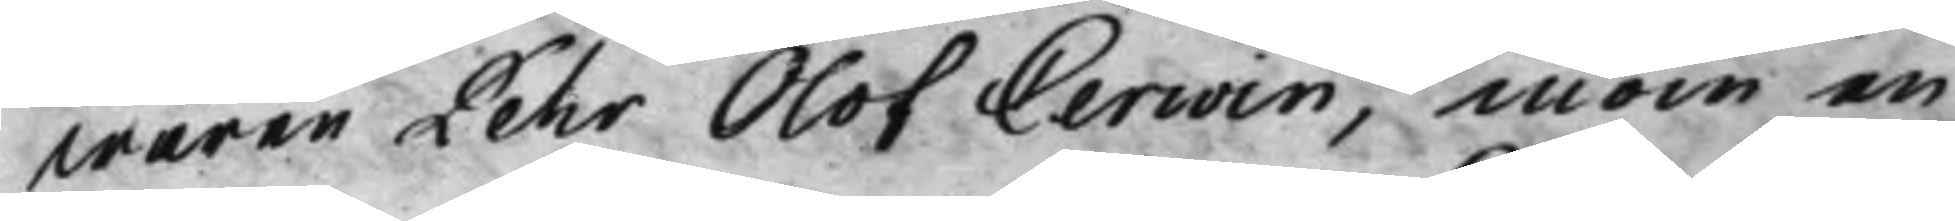waren Pehr Olof Cerwin, inom en
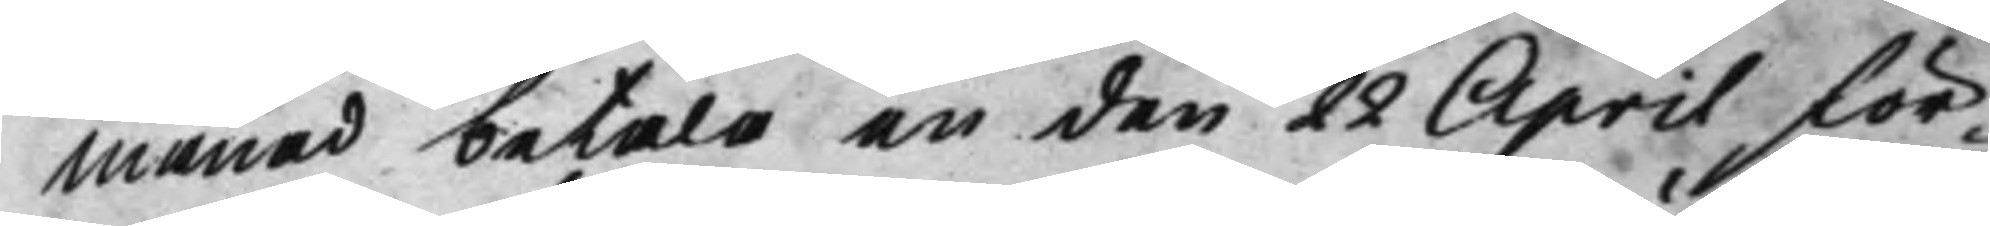Månad betala en den 22 April för¬
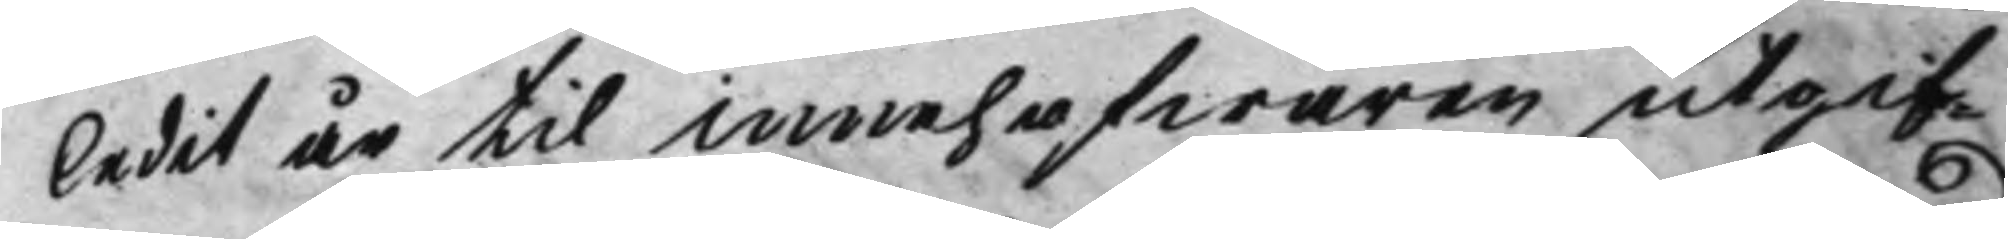ledit år til innehafwaren utgif¬
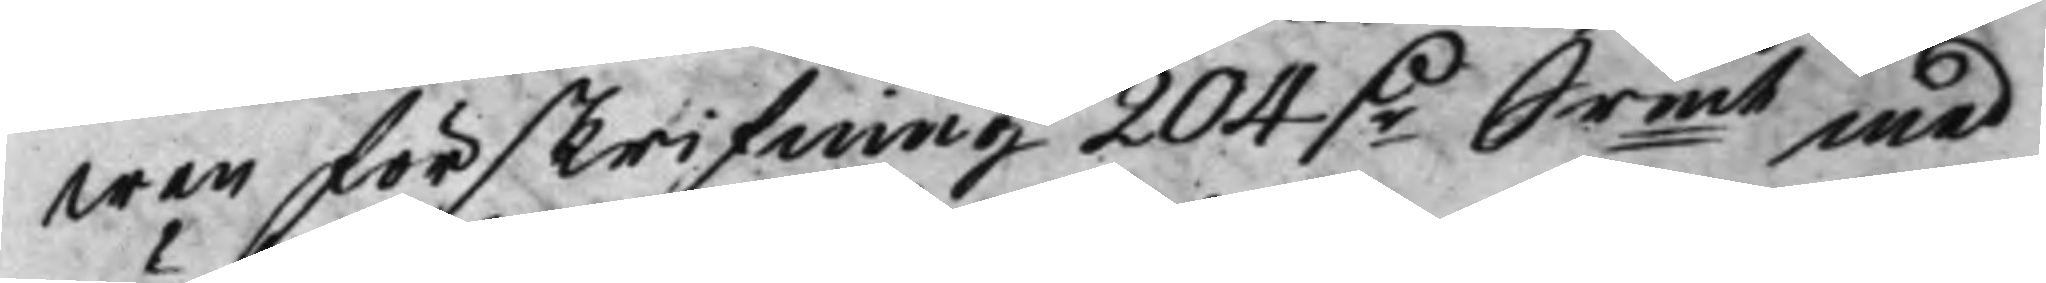wen förskrifning 204 D.r Srmt med 
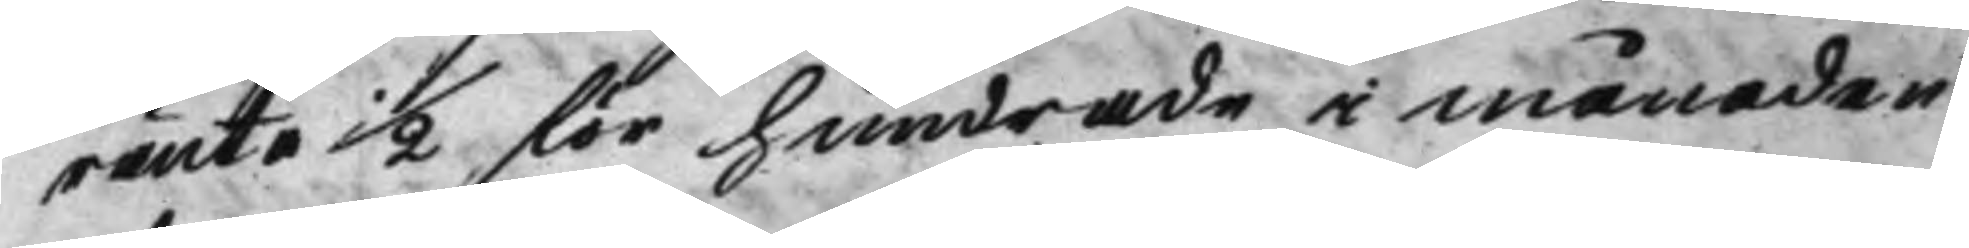ränta 1/2 för hundrade i månaden
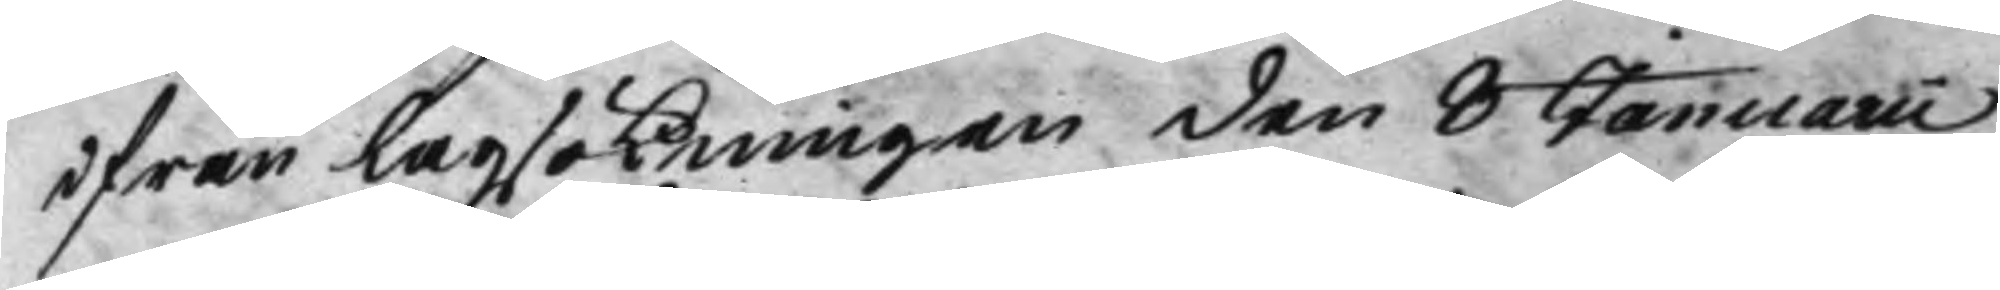ifrån Lagsökningen den 8 Januarii
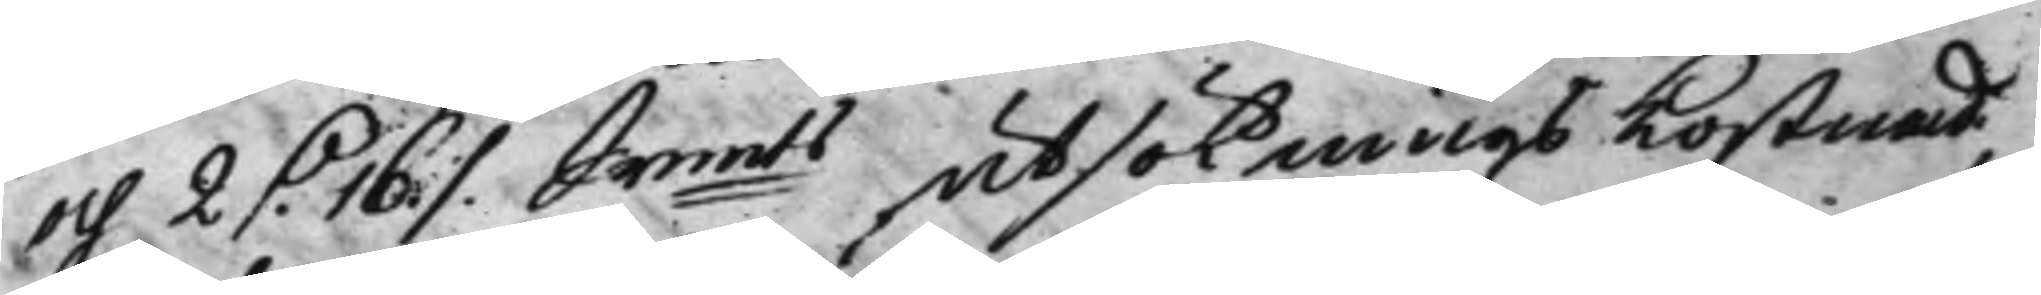och 2 D. 16 ./. Srmts utsöknings kostnad, 
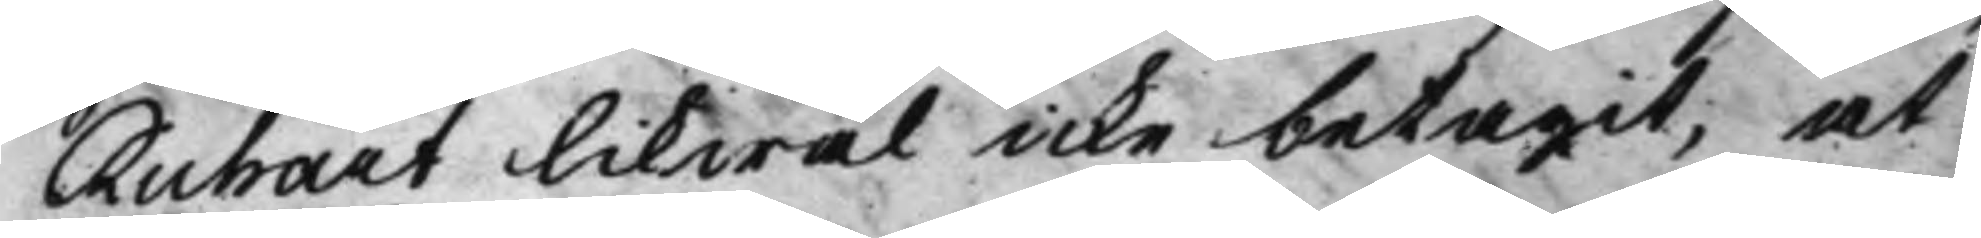Richart likwäl icke betagit, at
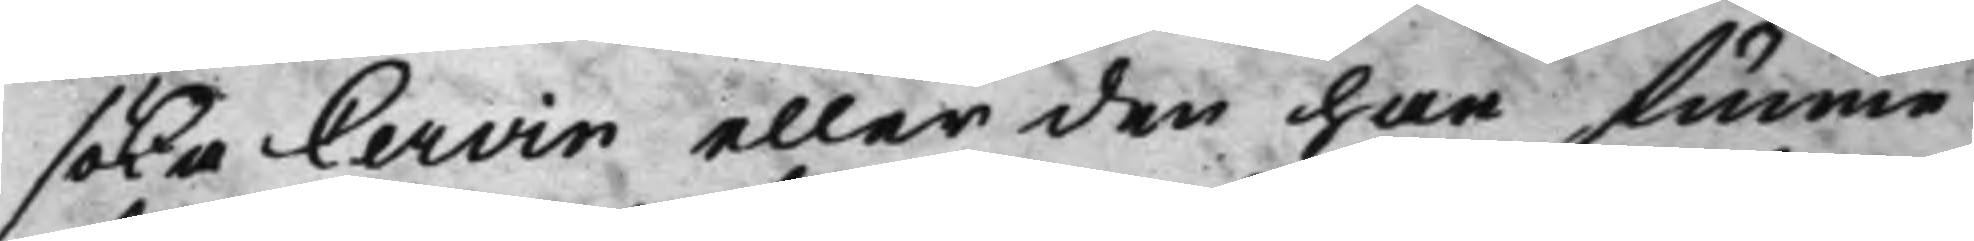söka Cervin eller den har funne
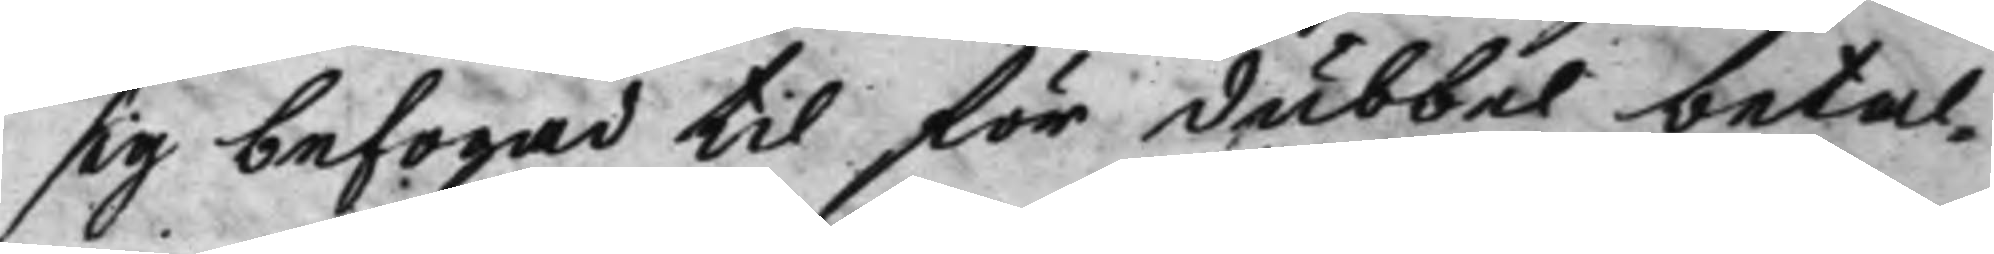sig befogad til för dubbel betal¬
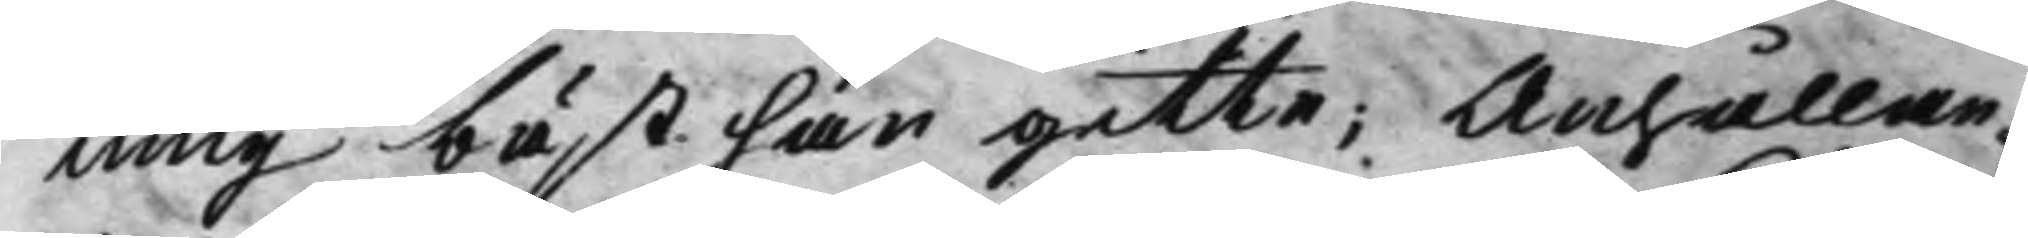ning bäst han gitte; Anhållan¬
